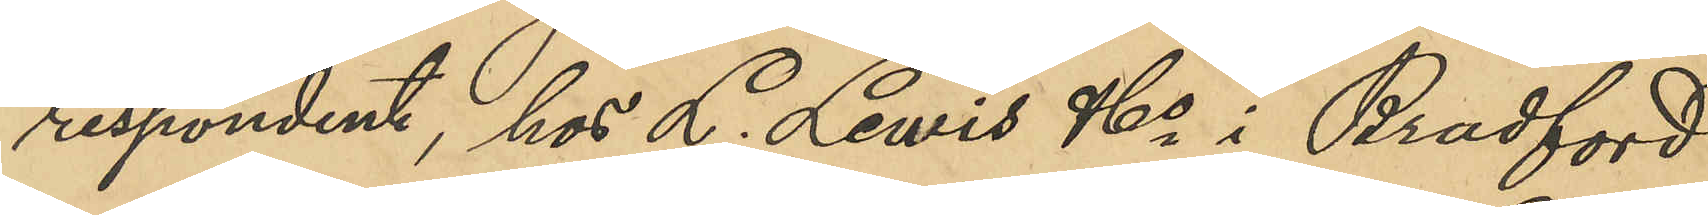respondent, hos L. Lewis & Co i Bradford
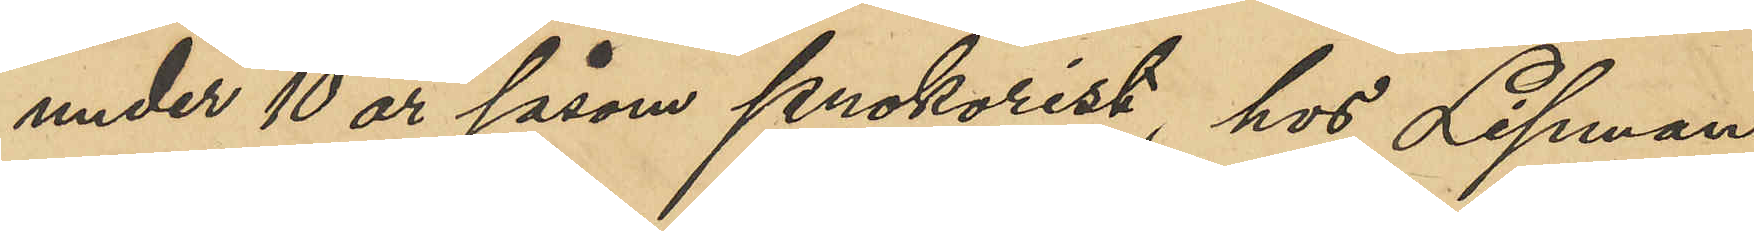under 10 år såsom prokurist, hos Lifman
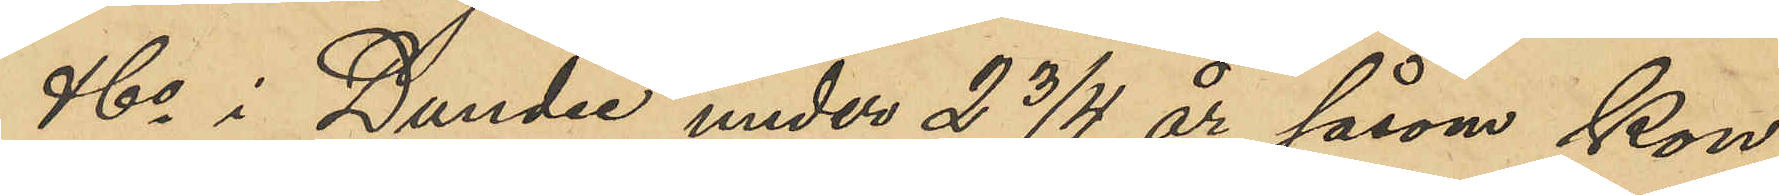& Co i Dundee under 2 3/4 år såsom kon¬
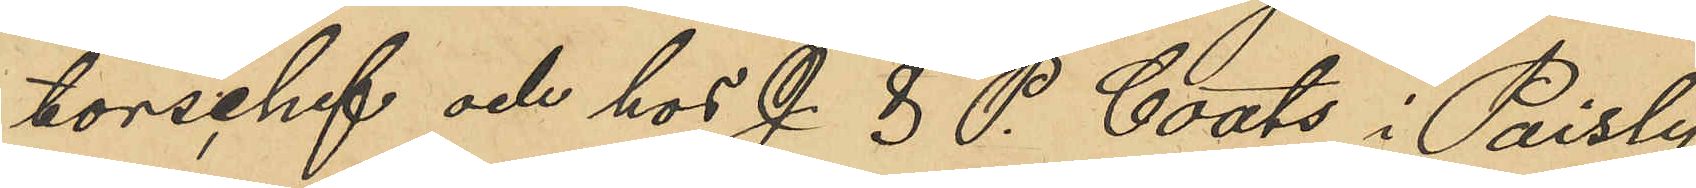torschef och hos J. & P. Coats i Paisly
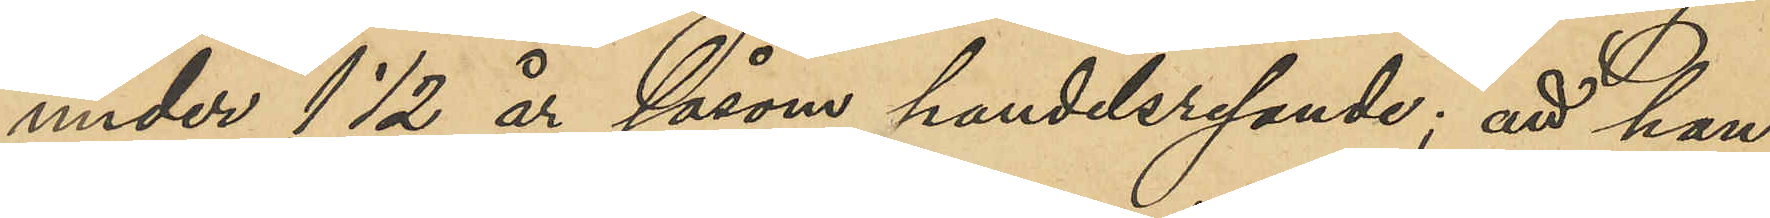under 1 ½ år såsom handelsresande; att han,
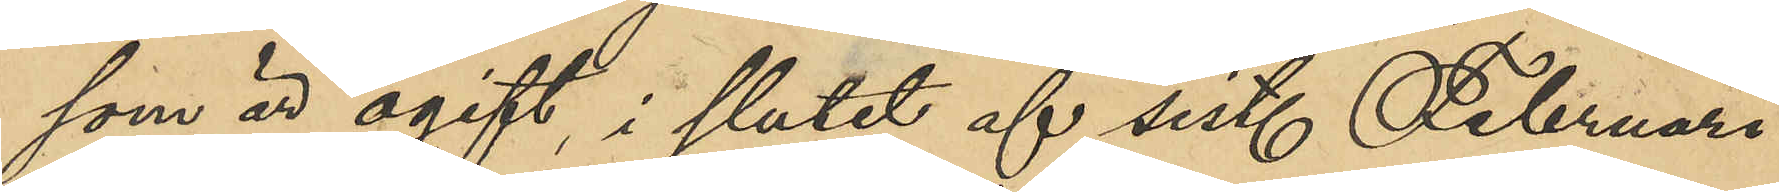som är ogift, i slutet af sist. Februari
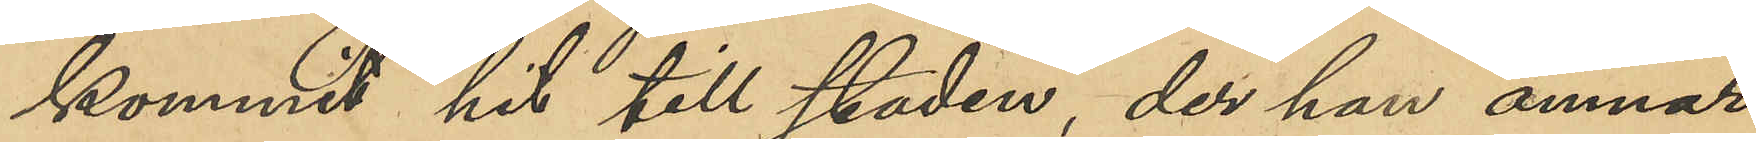kommit hit till staden, der han ämnar
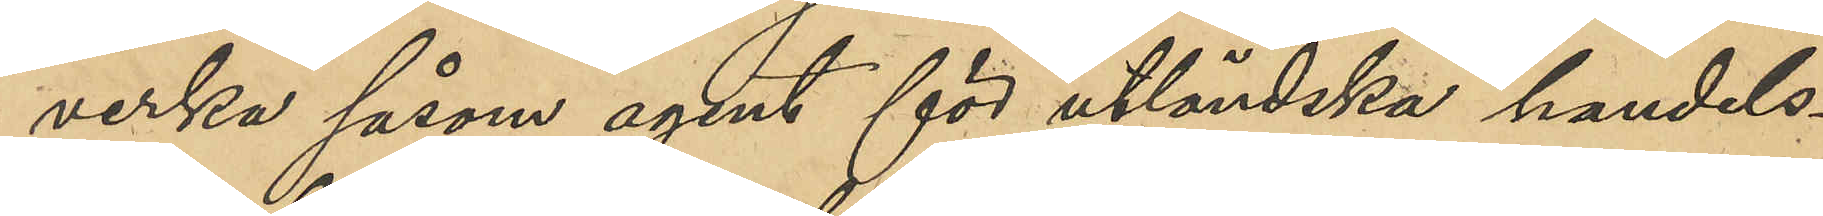verka såsom agent för utländska handels¬
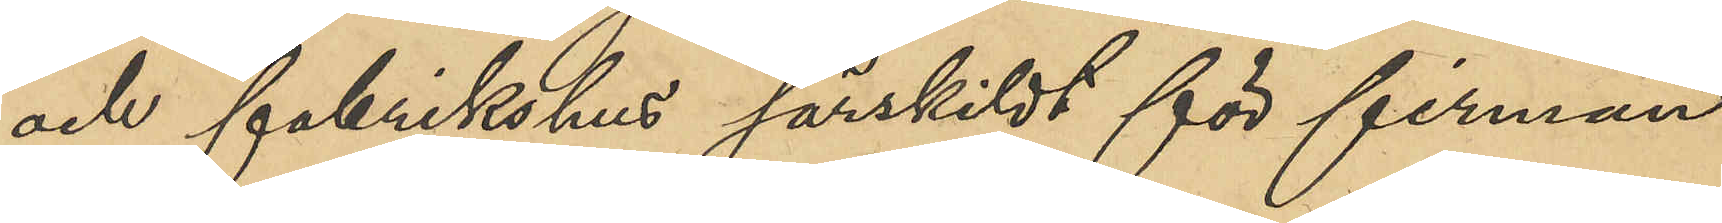och fabrikshus särskilt för firman
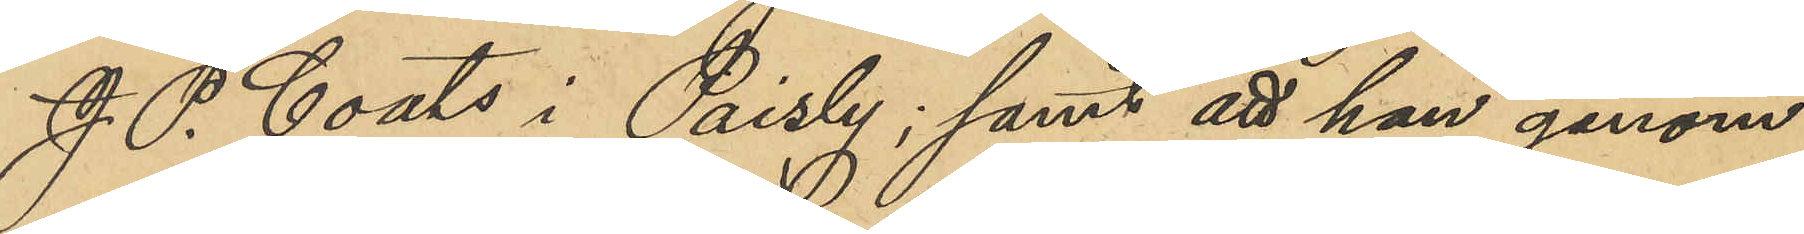J. P. Coats i Paisly; samt att han genom
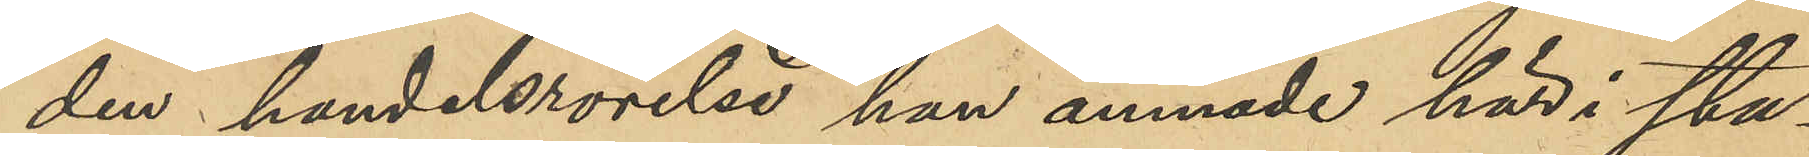den handelsrörelse han ämnade här i sta¬
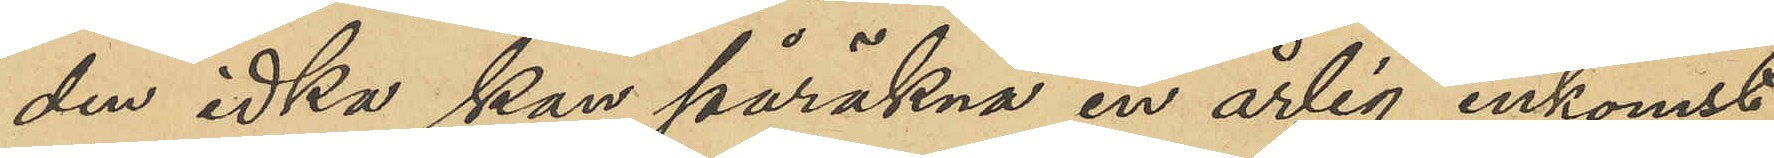den idka kan påräkna en årlig inkomst
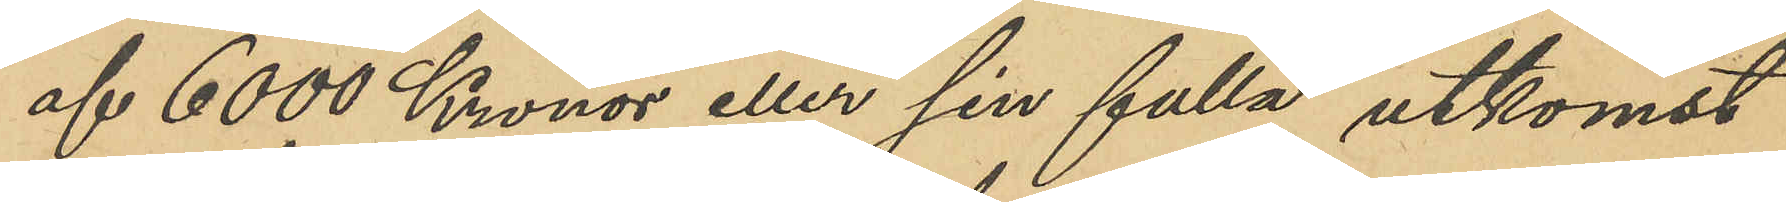af 6000 Kronor eller sin fulla utkomst
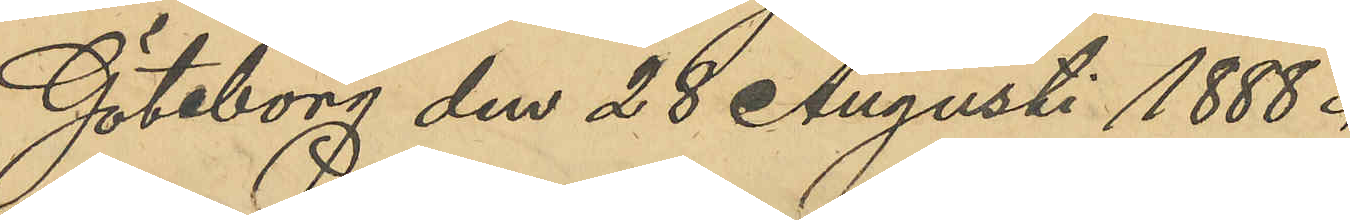Göteborg den 28 Augusti 1888.
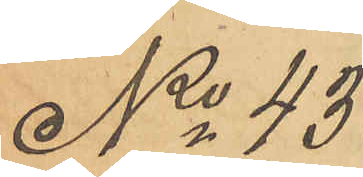No 43.
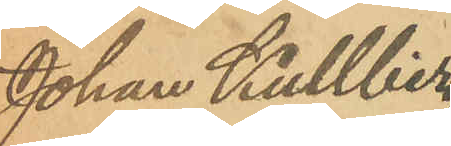Johan Kullberg
